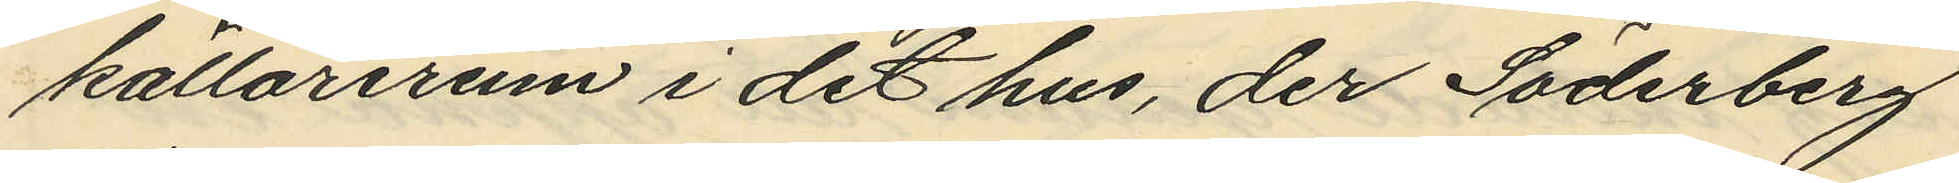källarerum i det hus, der Söderberg
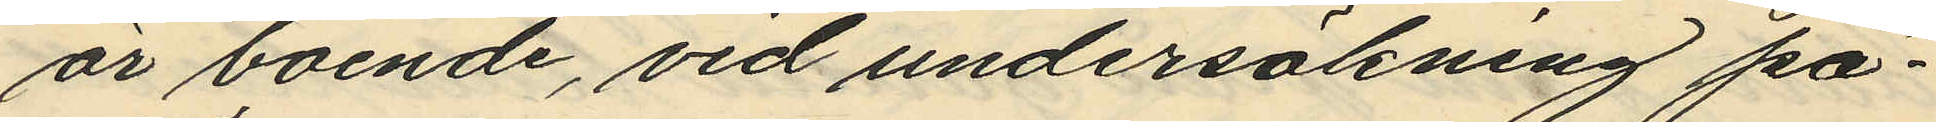är boende, vid undersökning på¬
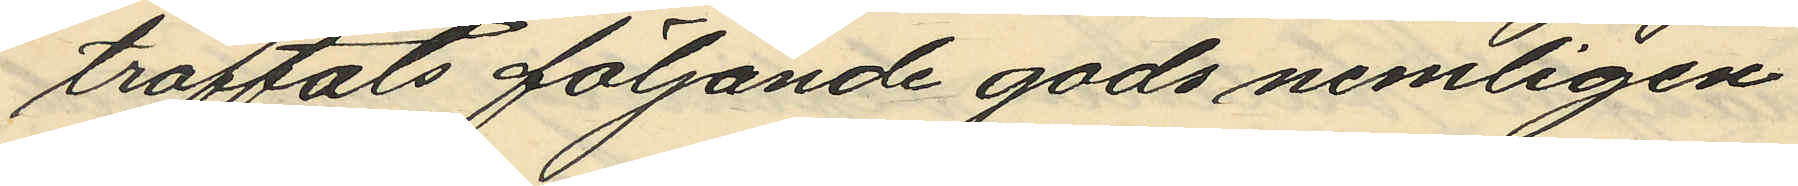träffats följande gods nemligen
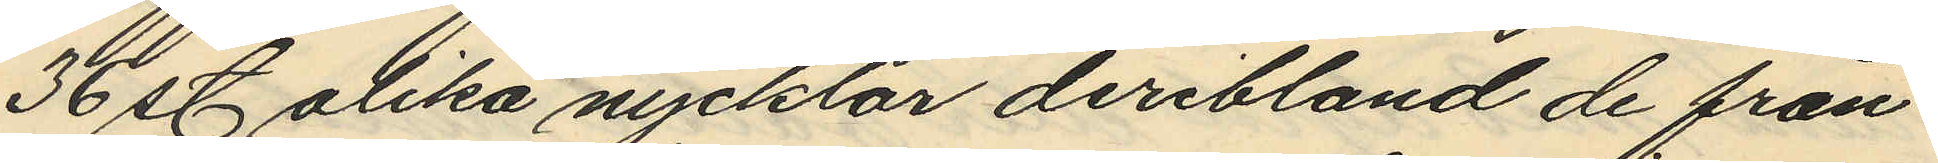36 st. olika nycklar deribland de från
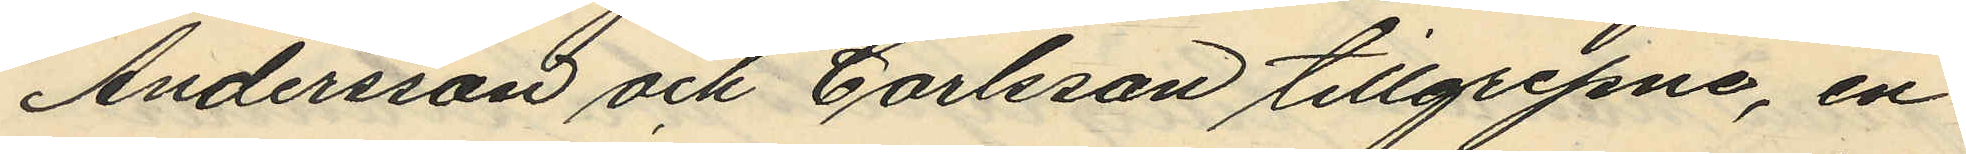Andersson och Carlsson tillgripne, en
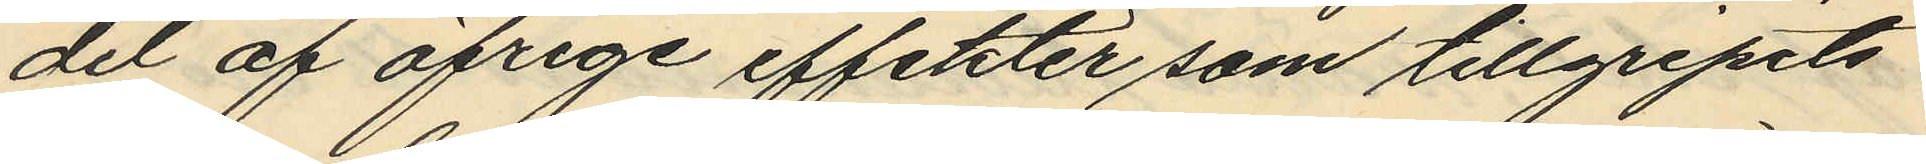del af öfriga effekter som tillgripits
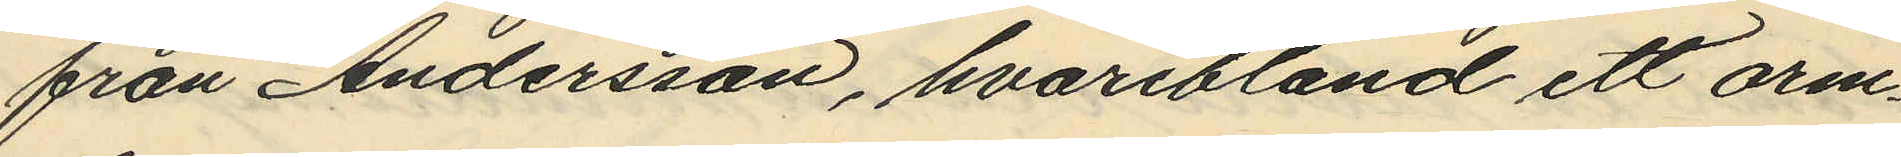från Andersson, hvaribland ett arm¬
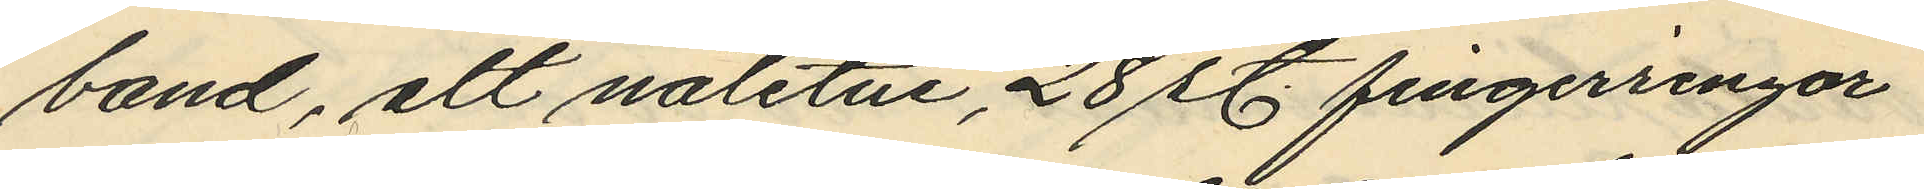band, att nåletui, 28 st. fingerringar
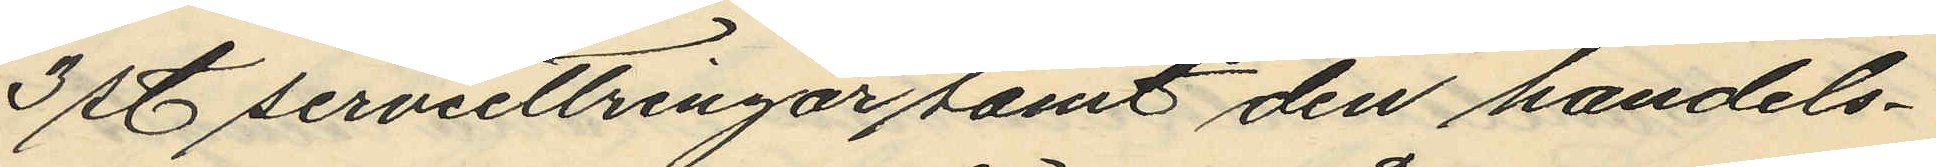3 st serviettringar samt den handels¬
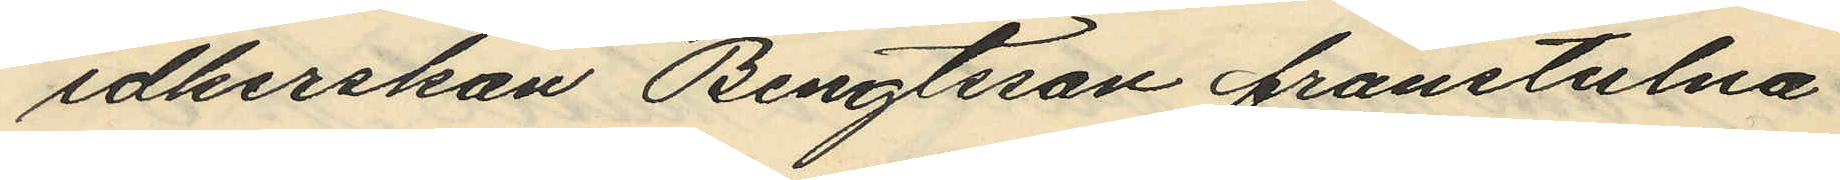idkerskan Bengtsson frånstulna
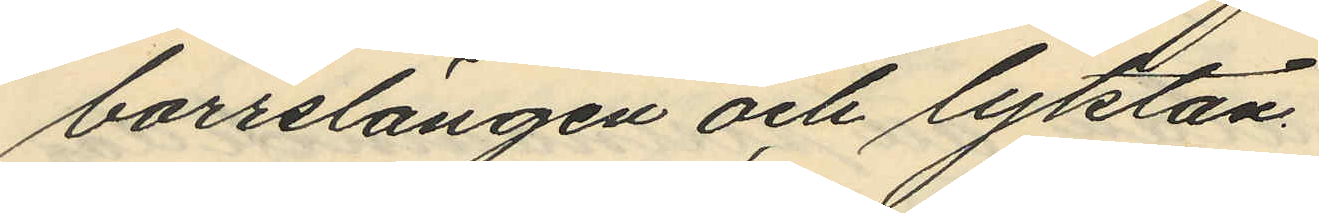borrslängen och lyktan.
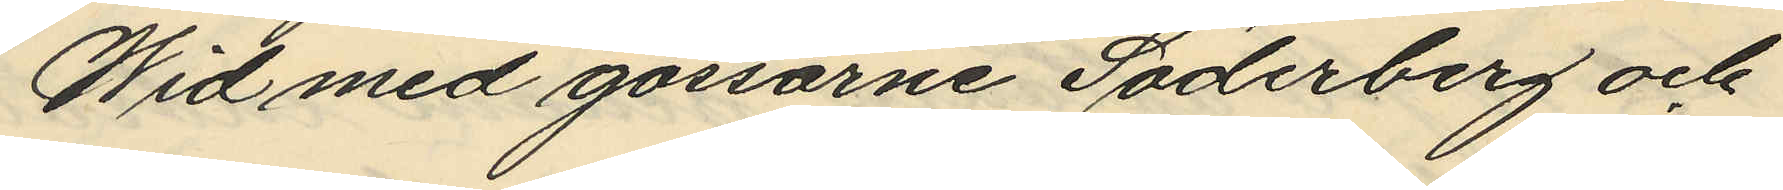Wid med gossarne Söderberg och
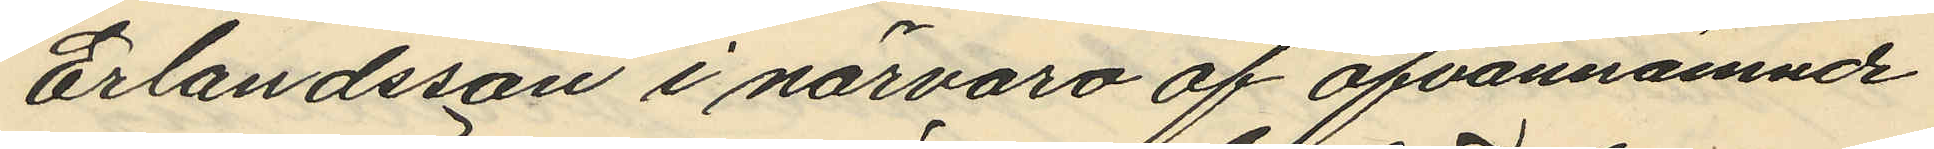Erlandsson i närvaro af ofvannämnde
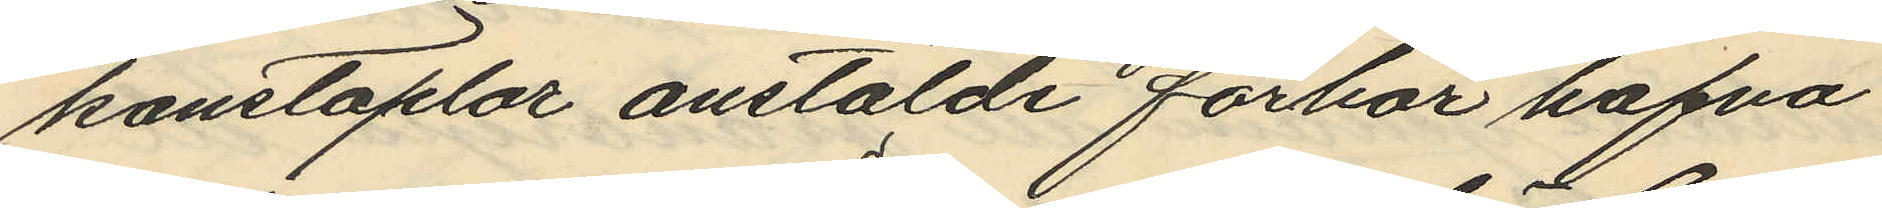konstaplar anstälde förhör hafva
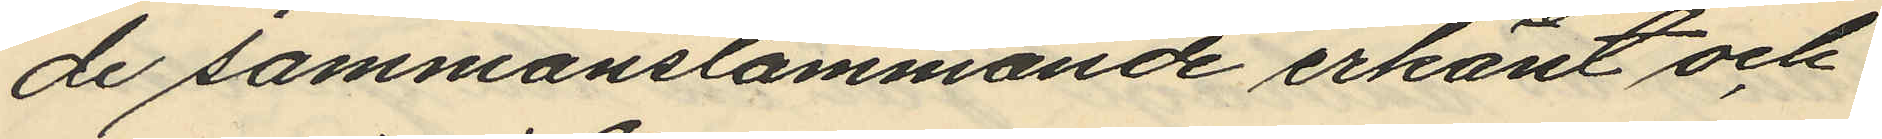de sammanstämmande erkänt och
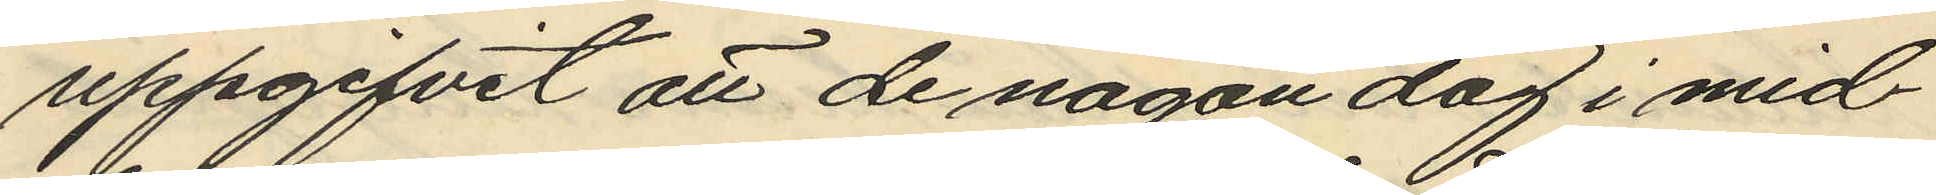uppgifvit att de någon dag i mid¬
